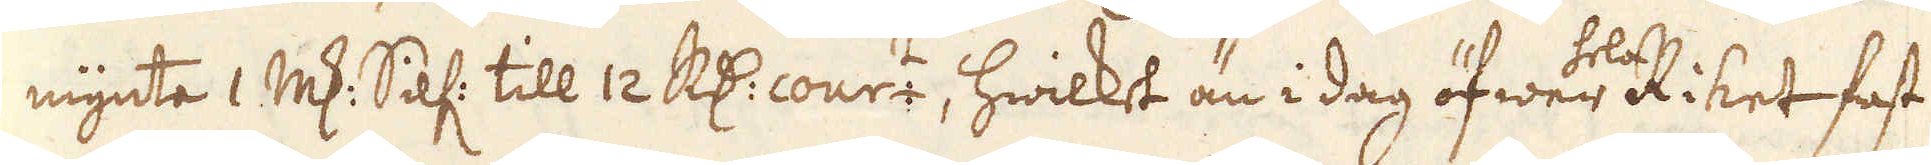mynta 1 marker Silf: till 12 R:dr cour:t, hwilket än i dag öfwer hela Riket fast
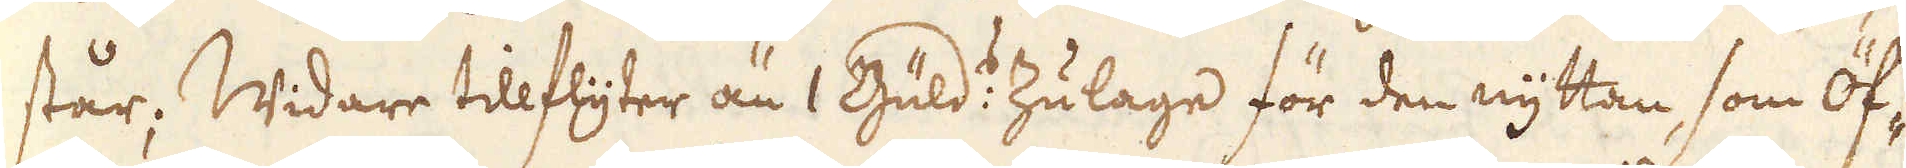står; Widare tillflyter än 1 Guld:s Zulage för den nyttan, som Öf-
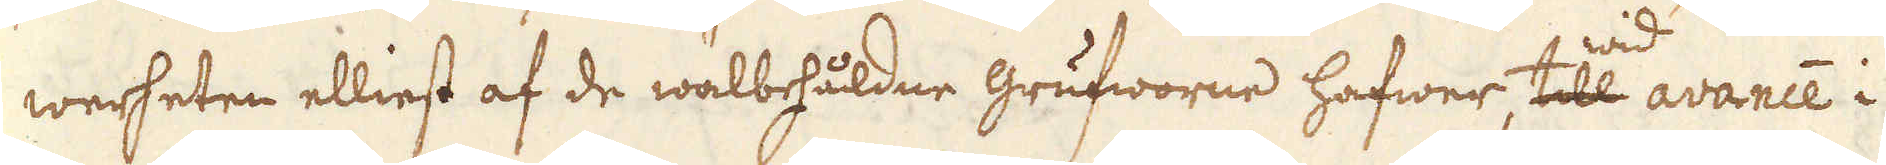werheten elliest af de wälbehåldne grufworne hafwer, till wid avance i
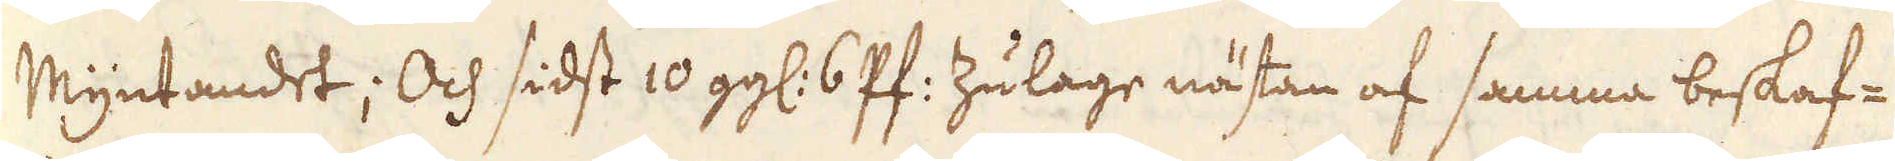Myntandet; Och sidst 10 gg: 6 Pf: Zulage nästan af samma beskaf-
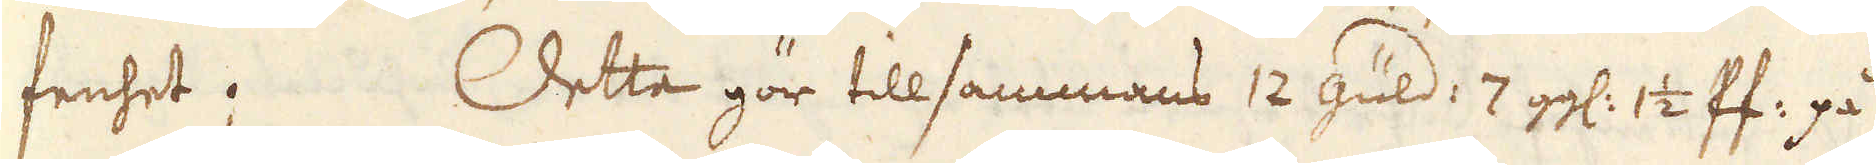fenhet. Detta gör tillsammans 12 guld: 7 gg: 1 1/2 Pf: på
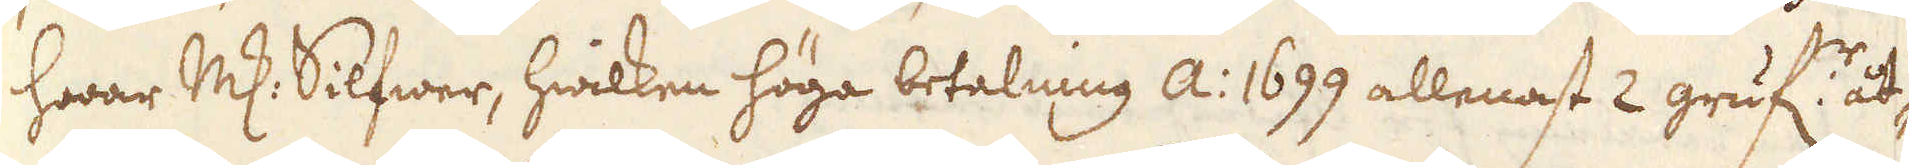hwar marker Silfwer, hwilken höga betalning A: 1699 allenast 2 gruf:r åt-
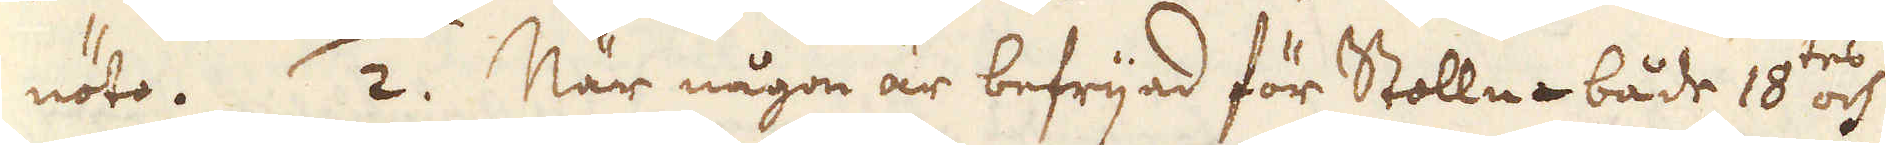nöto. 2. När någon är befrijad för Stolln både 18:tes och
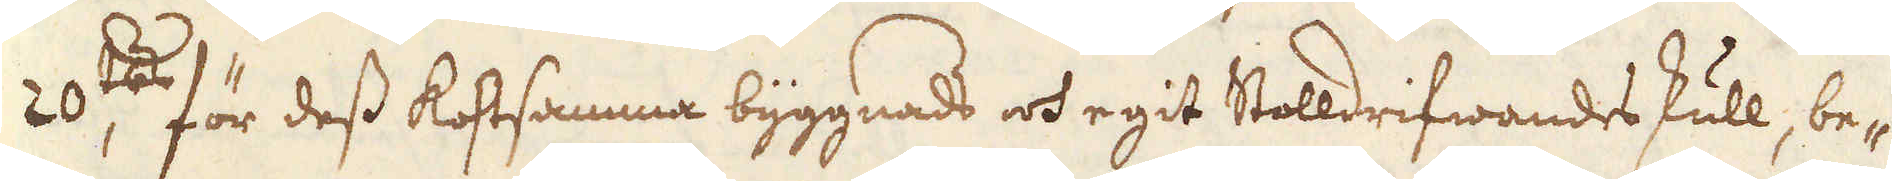20:tes för dess kostsamma byggnads och egit Stolldrifwandes skull, be-
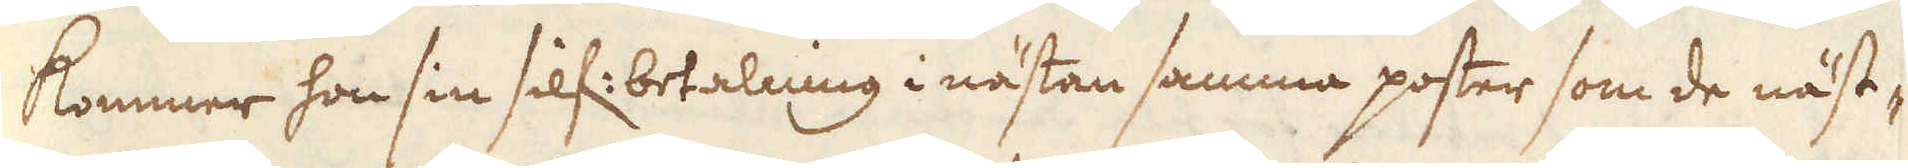kommer hon sin silf: betalning i nästan samma poster som de näst-
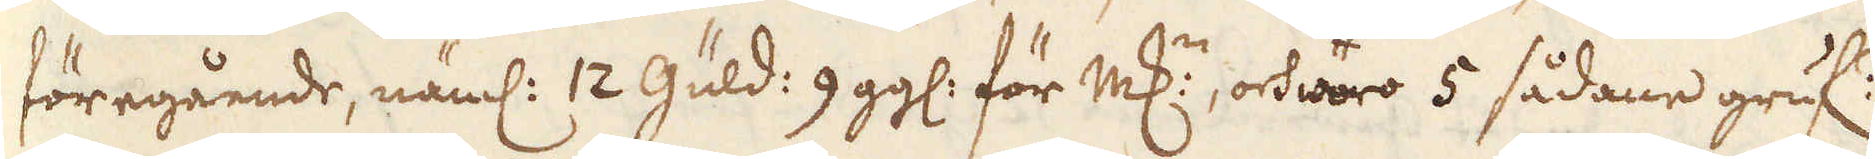föregående, näml: 12 Güld: 9 gg: för marker, och woro 5 sådane gruf:r
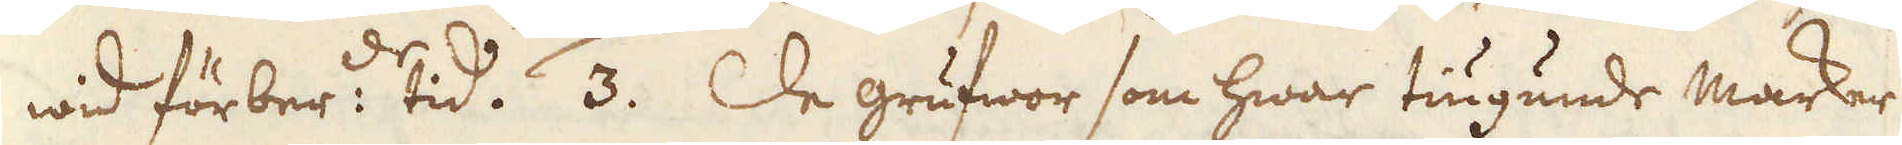wid förber:de tid. 3. De grufwor som hwar tiugunde marker
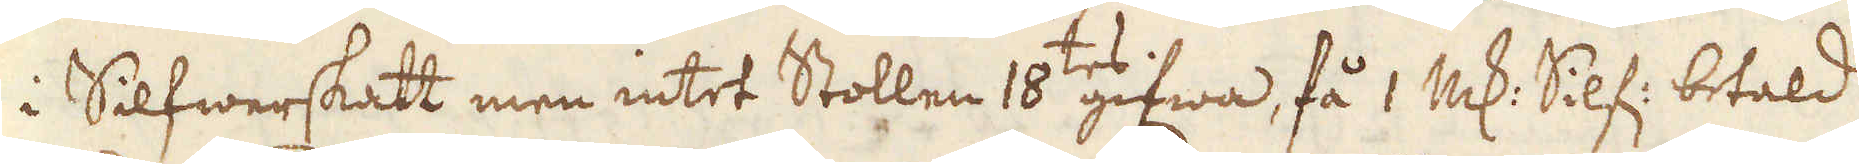i Silfwerskatt men intet Stollen 18:tes zifwa, få 1 marker Silf: betald
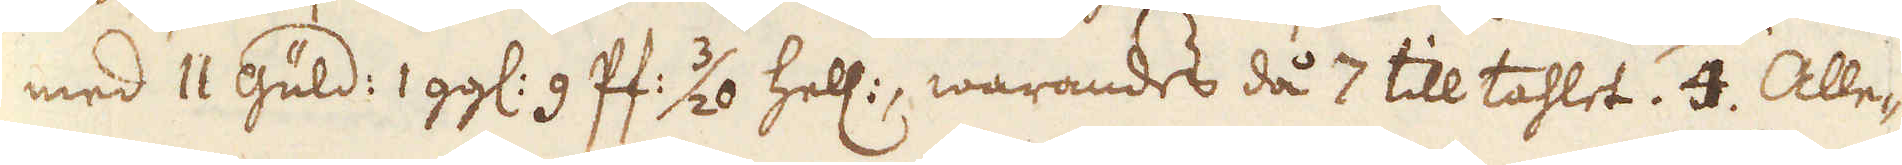med 11 Güld: 1 gg: 9 Pf: 3/20 hell:, warandes då 7 till tahlet. 4. Alle-
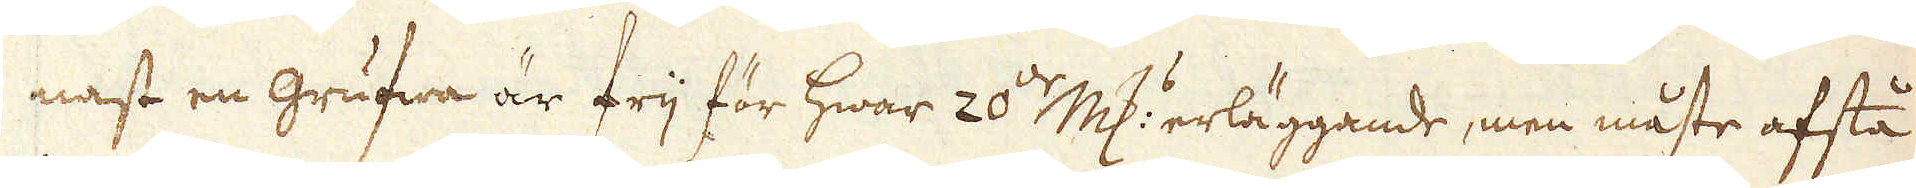nast en grufwa är frij för hwar 20:de marker erläggande, men måste afstå
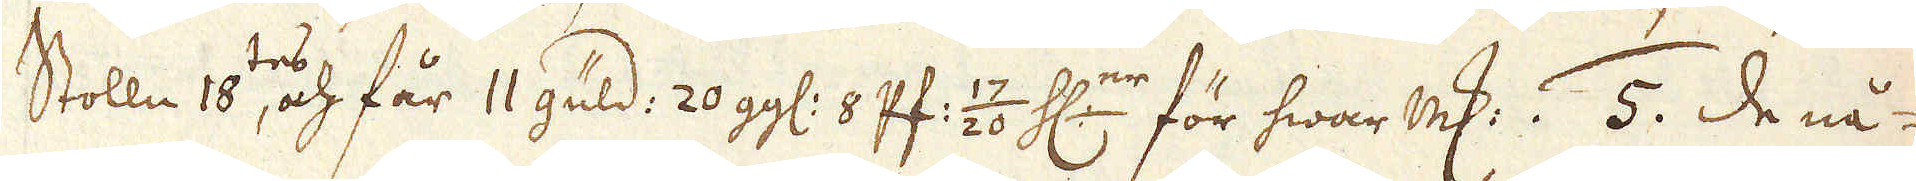Stolln 18:tes, och får 11 güld: 20 gg: 8 Pf: 17/20 H:nr för hwar marker. 5. de nå-
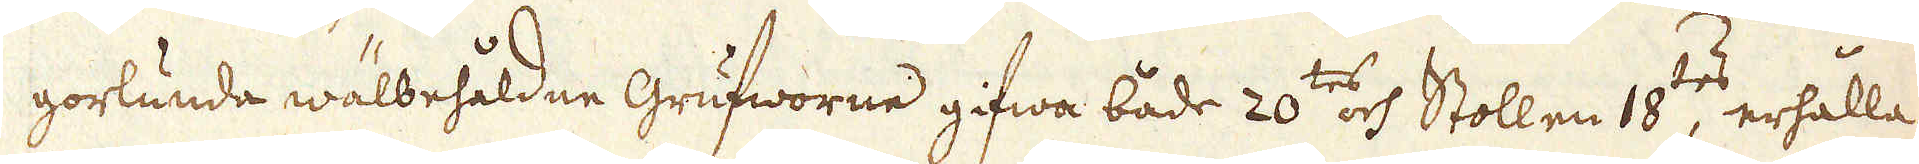gorlunda wälbehåldne grufworne gifwa både 20:tes och Stollen 18:tes, erhålla
